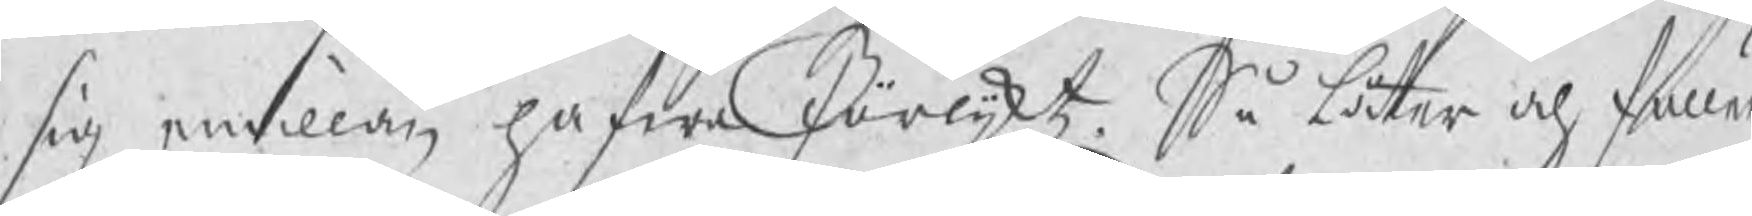sig emillan hafwa förlijktz. Så låter och fuller
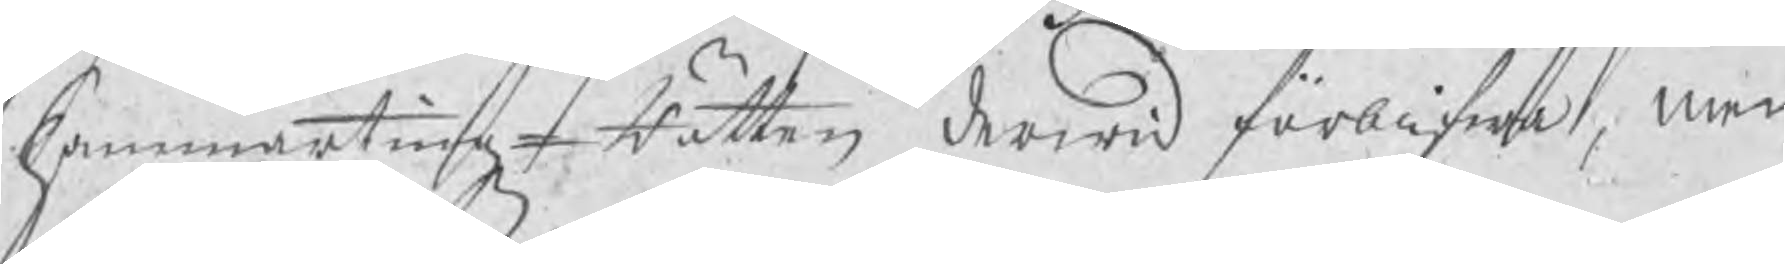HammartingzRätten derwid förblifwa, men
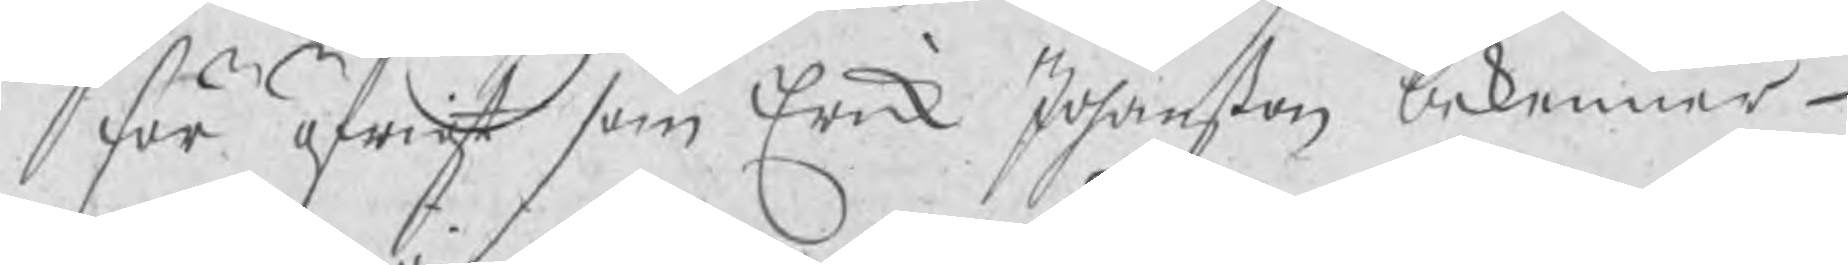för öfrigt som Erick Johanßon bekommer
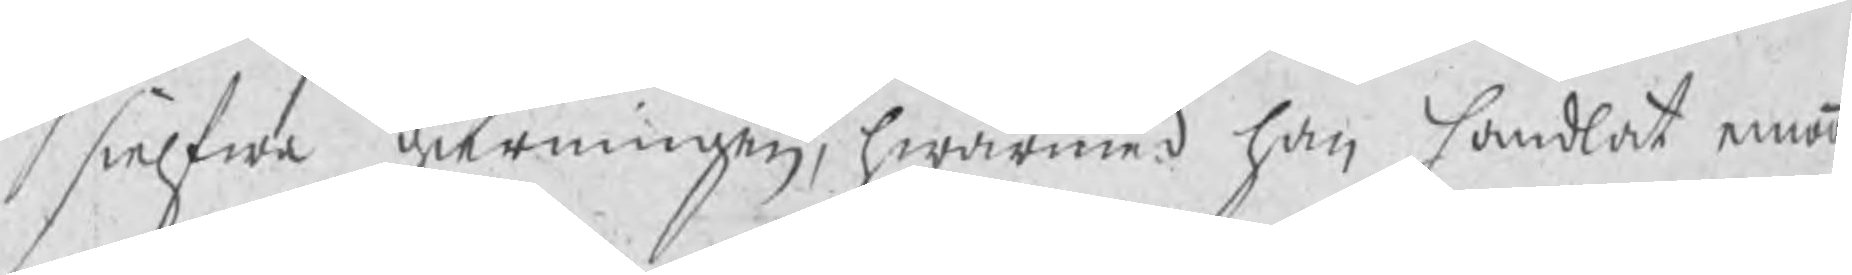sielfwa gierningen, hwarmed han handlat emoot
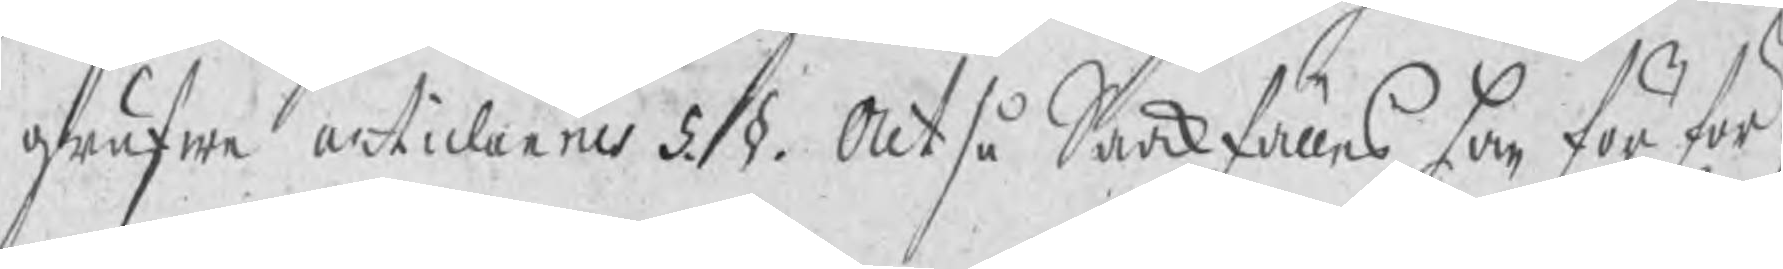grufwe articlarnes 5. §. Altså Saakfälles han för för¬
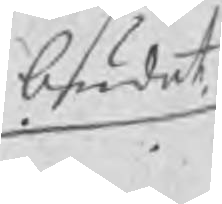budet
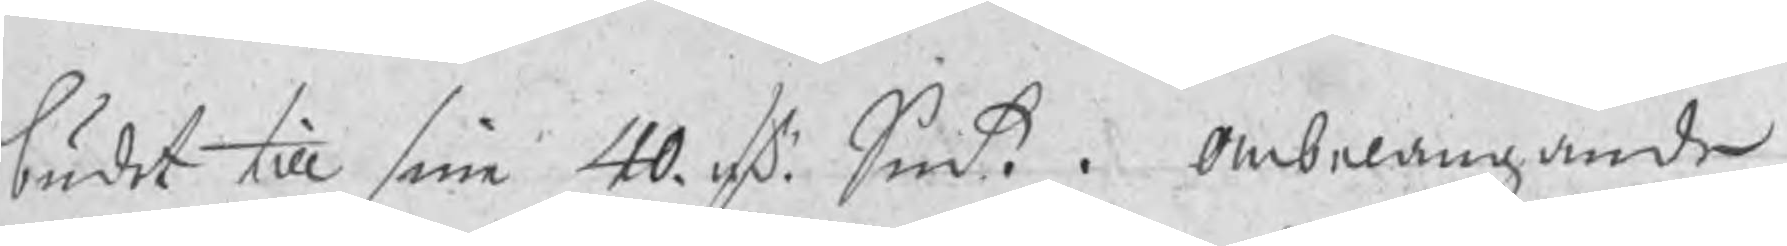budet till sine 40. rd Smt. Anbelangande
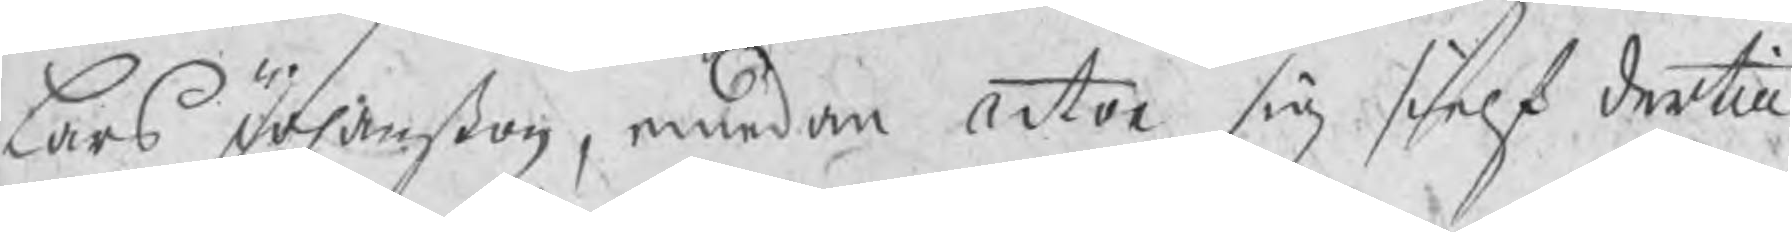Lars Johanßon, emedan actor sig sielf dertill
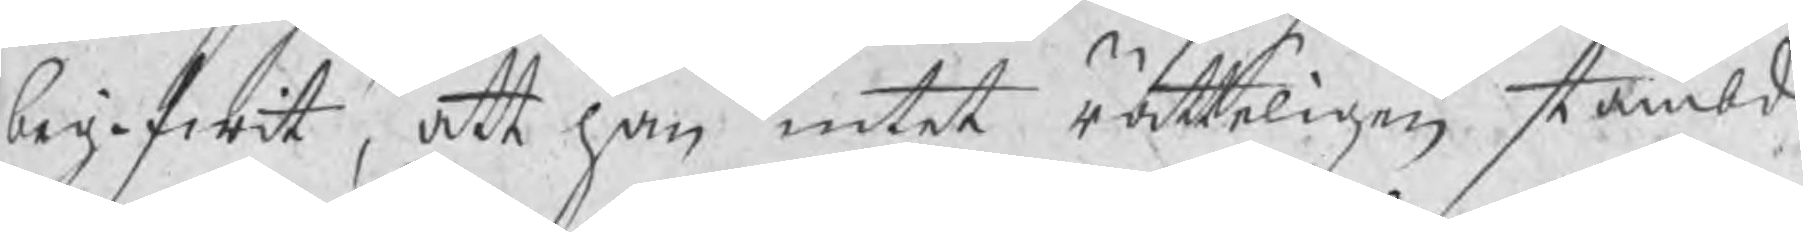begifwit, att han intet rätteligen stämbd
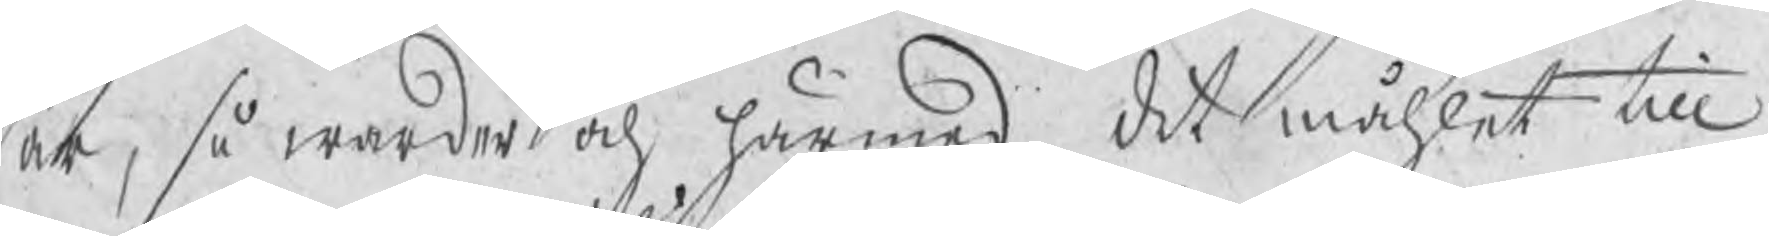är, så warder och härmed det måhlet till
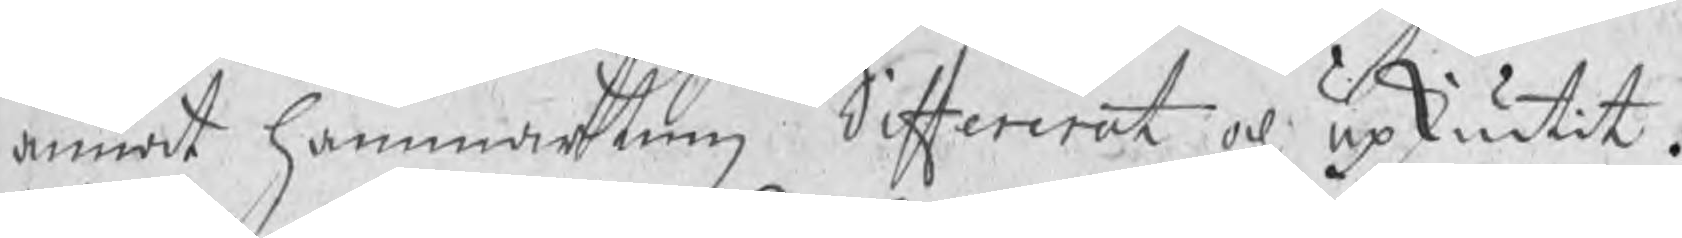annat hammarting differerat och upskiutit.
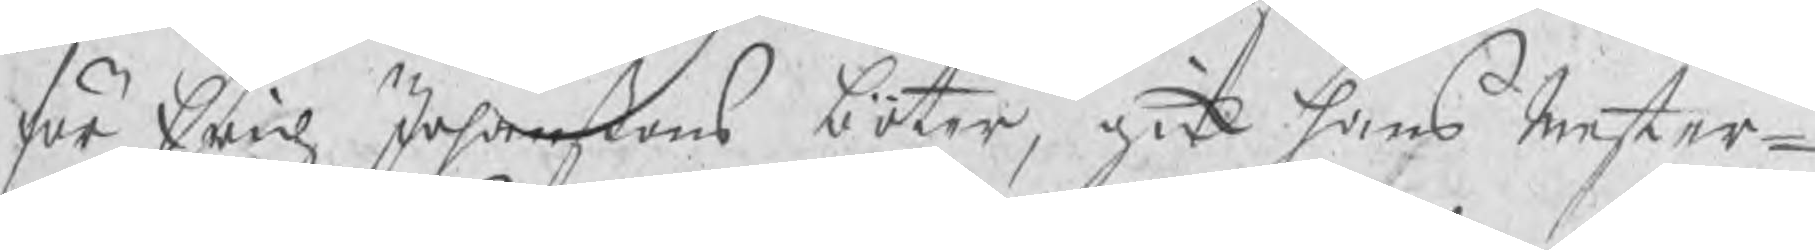för Erich Johanßons böter, gick hans Mester¬
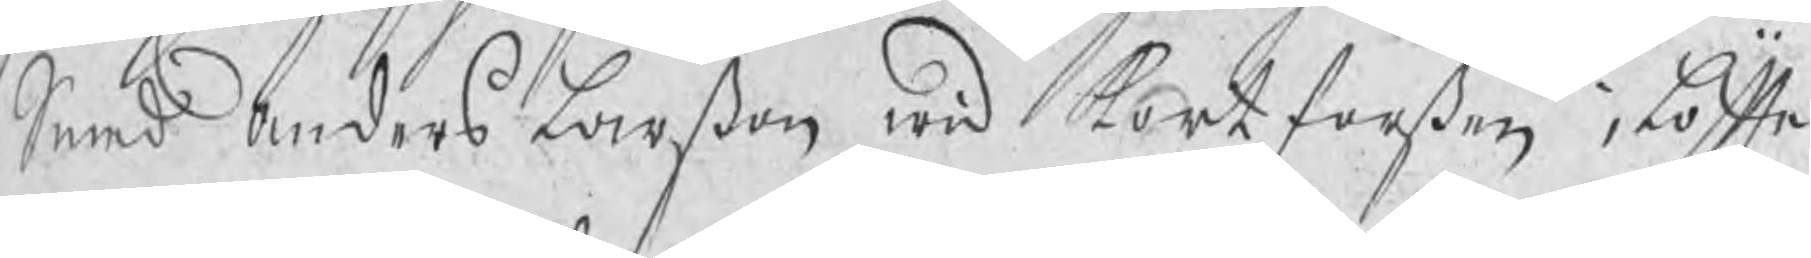Smed Anders Larßon wid Kortforßen i löfte
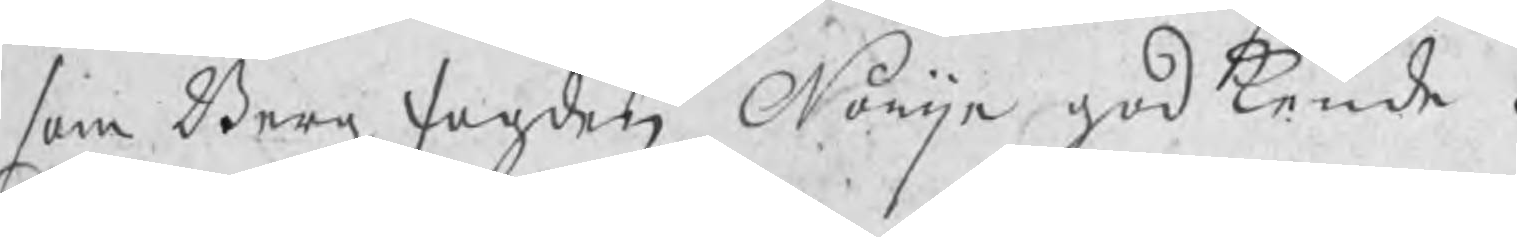som Bergzfogden Norijn godkende.
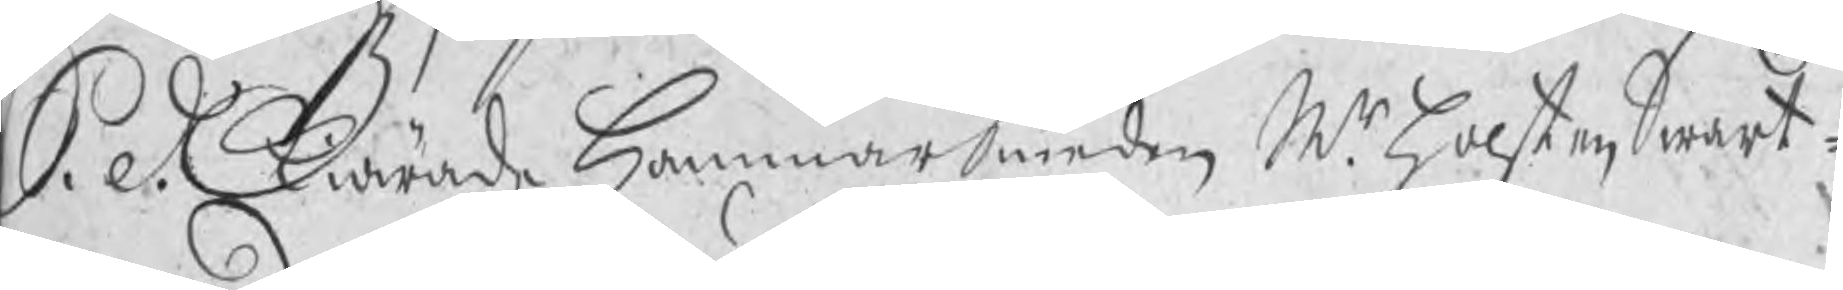S. D. Kiärade HammarSmeden Mr Holsten Swart¬
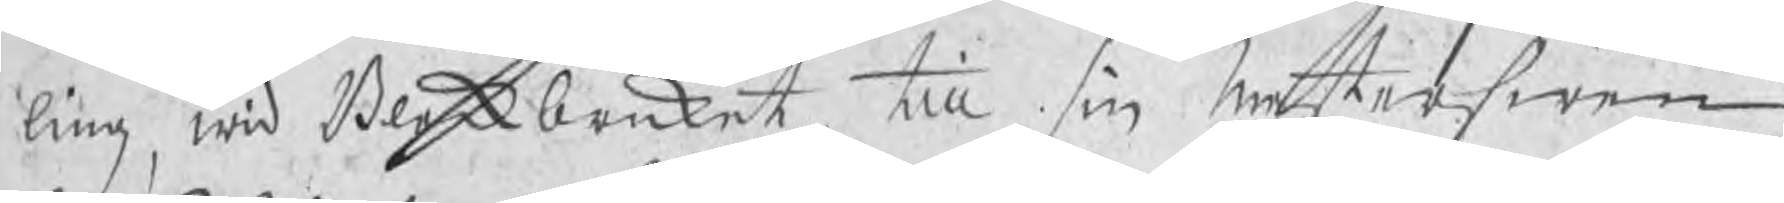ling, wid Bleckbruket, till sin Mesterswen
